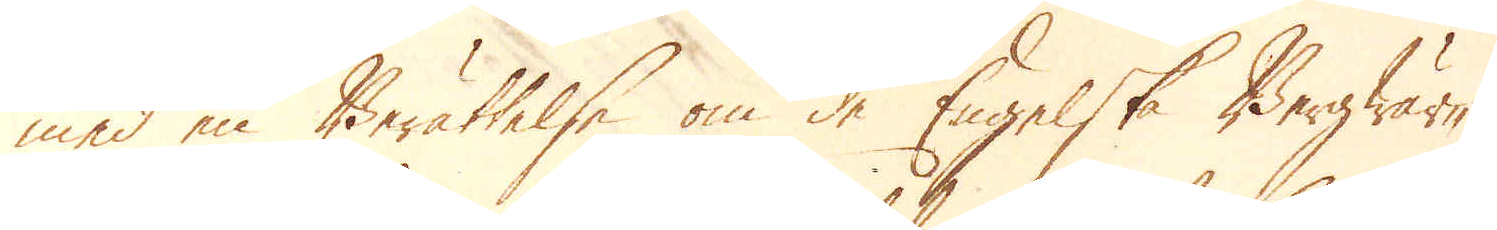med en Berättelse om de Engelske Bergwär-
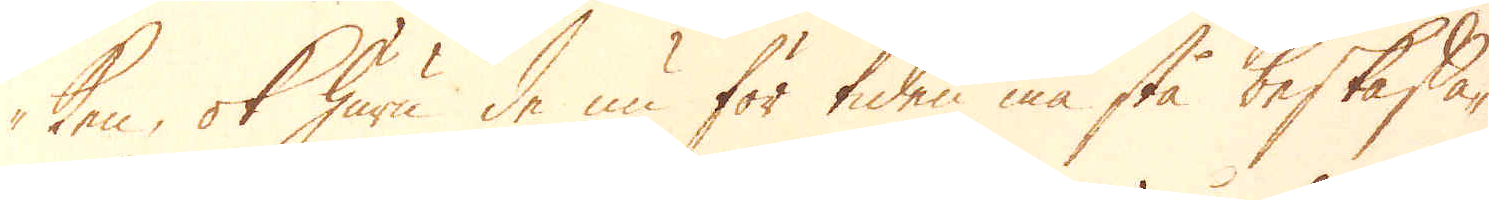ken, ock huru de nu för tiden må stå beskaffa-
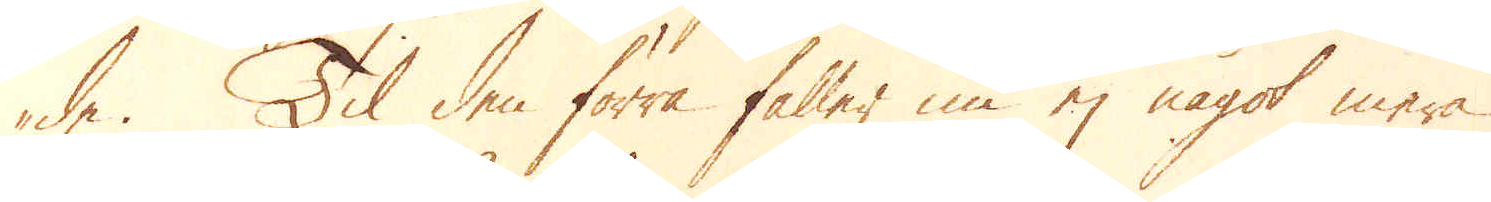de. Til den förra faller nu ej något mera
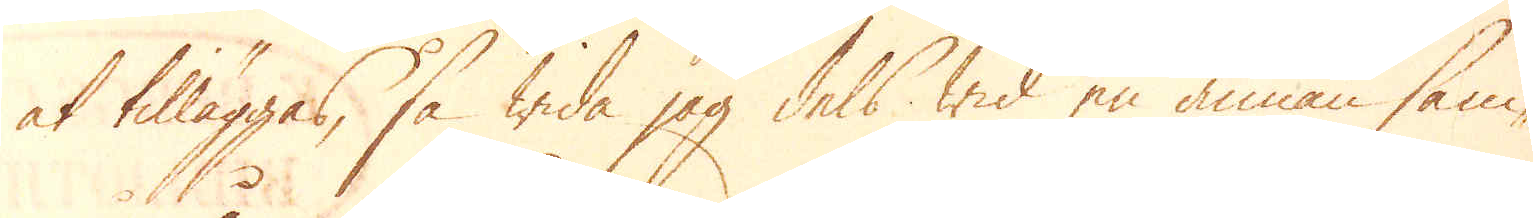at tilläggas, så wida jag dels wid en annan sam-
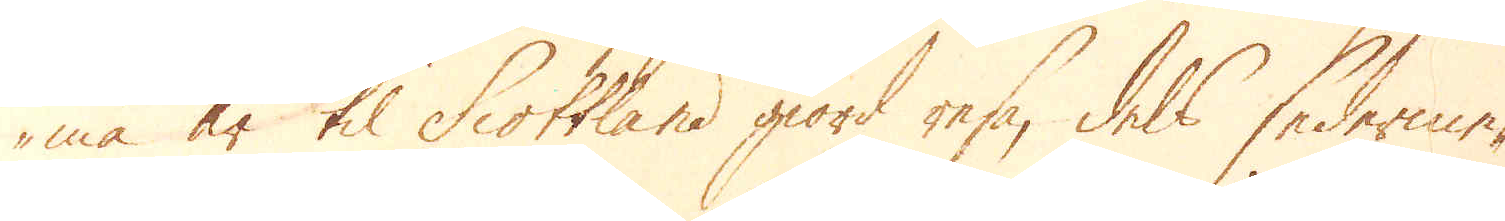ma år til Scottland giord resa, dels sederme-
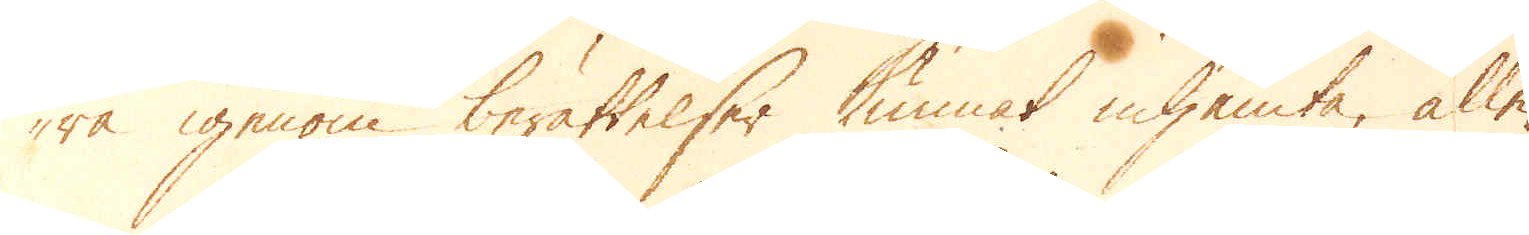ra igenom berättelser kunnat inhämta, alle-
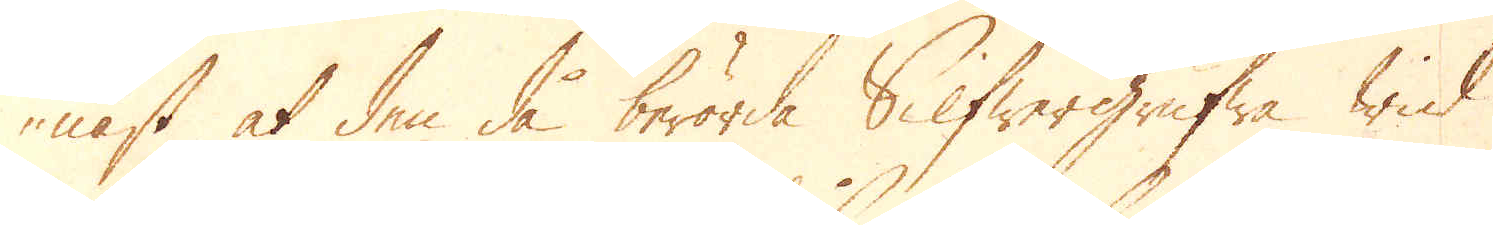nast at den då berörde Silfwergrufwa wid
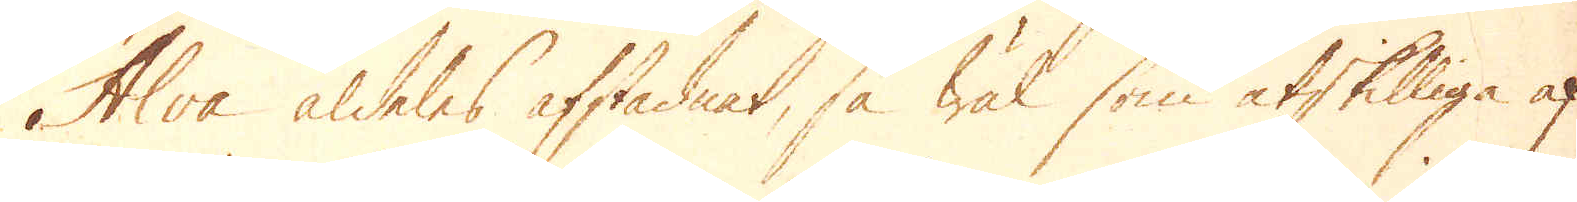Alva aldeles afstadnat, så wäl som åtskilliga af
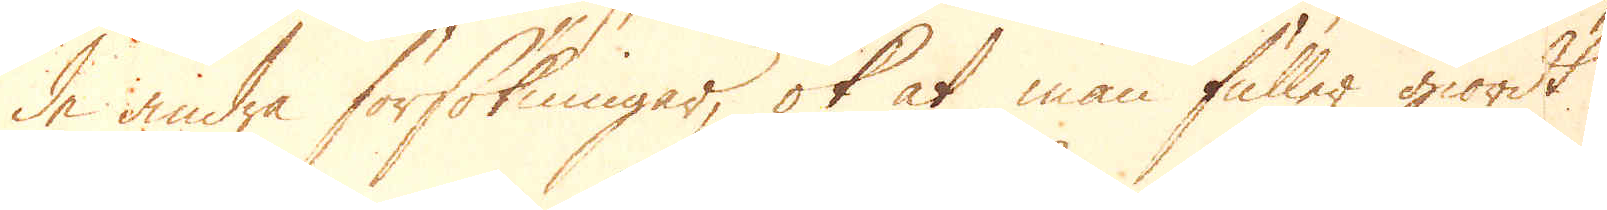de andra försökningar, ok at man fuller giordt
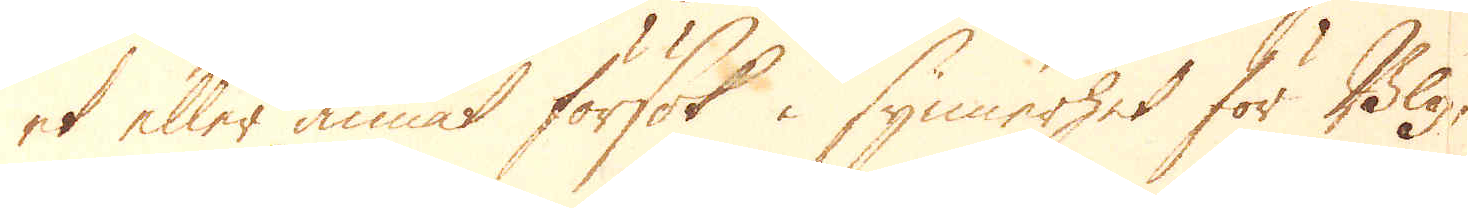et eller annat försök i synnerhet för Bly,
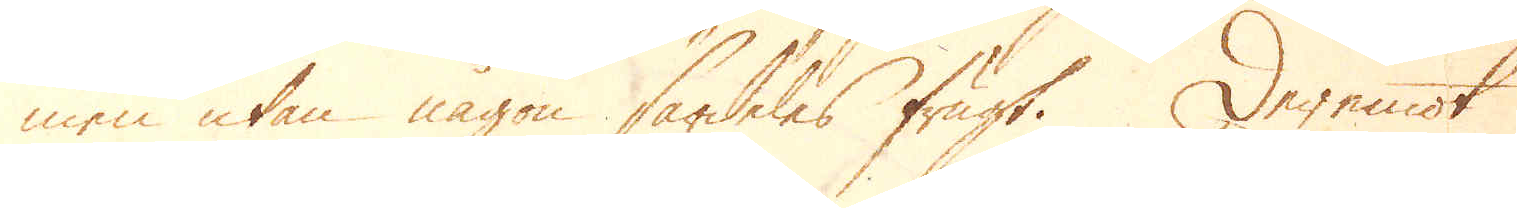men utan någon särdeles frugt. Deremot
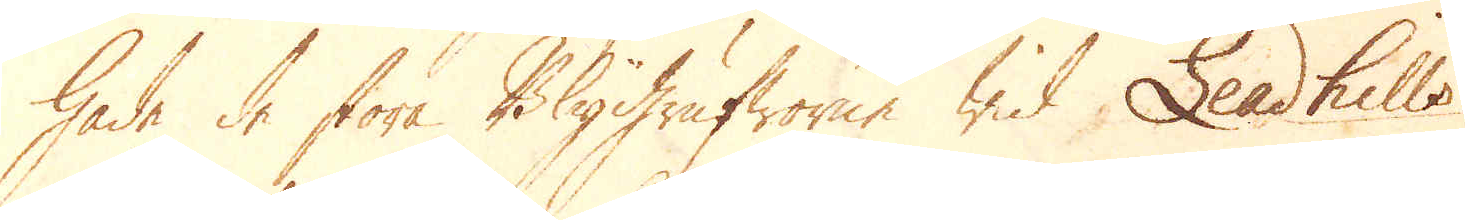hade de stora Blygrufworne wid Leadhills
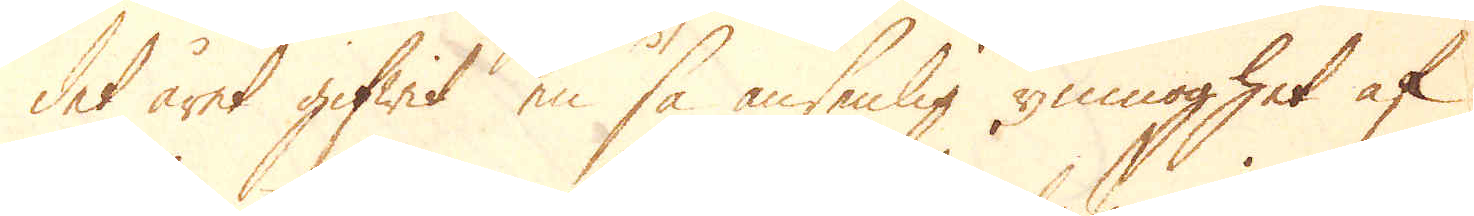det året gifwit en så ansenlig ymnoghet af
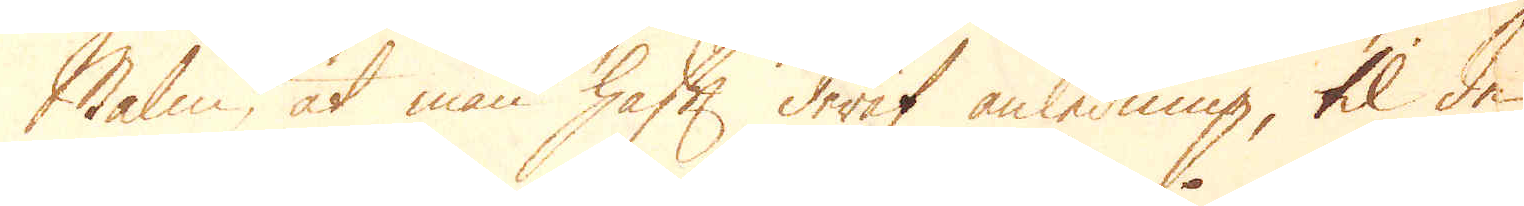malm, at man hafft deraf anledning, til de
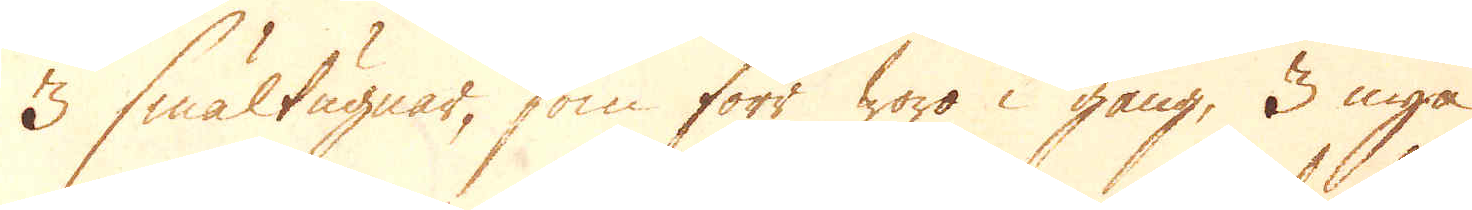3 smältugnar, som förr woro i gång, 3 nya
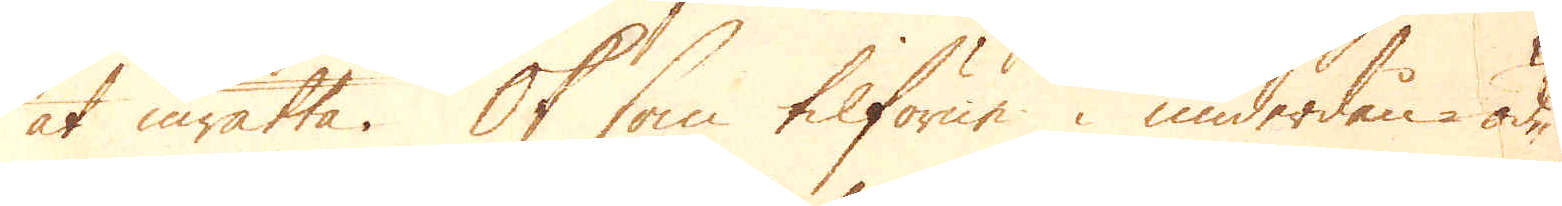at inrätta. Ok som tilfören i underdån-öd-
